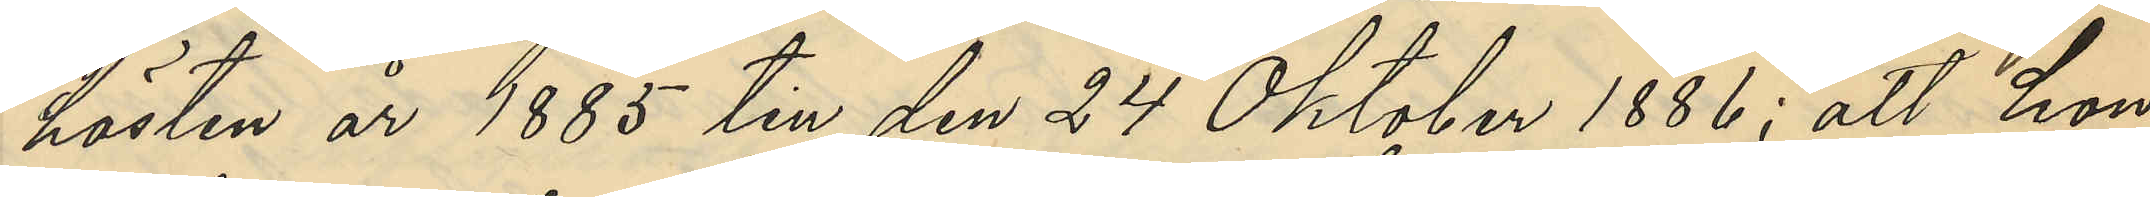hösten år 1885 till den 24 Oktober 1886; att hon
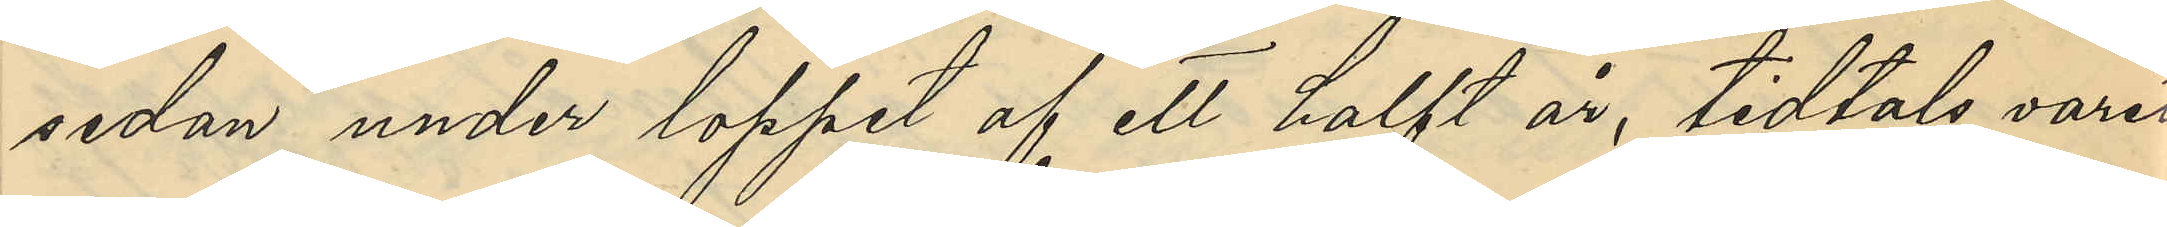sedan under loppet af ett halft år, tidtals varit
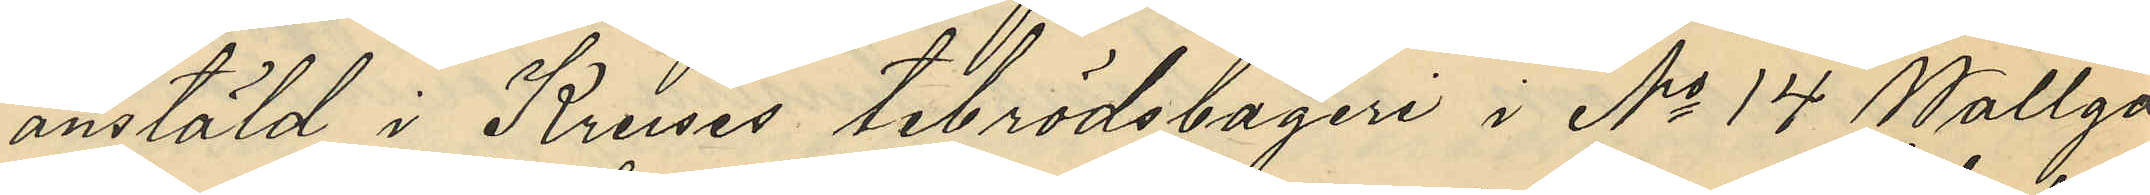anstäld i Kruses tebrödsbageri i No 14 Wallga¬
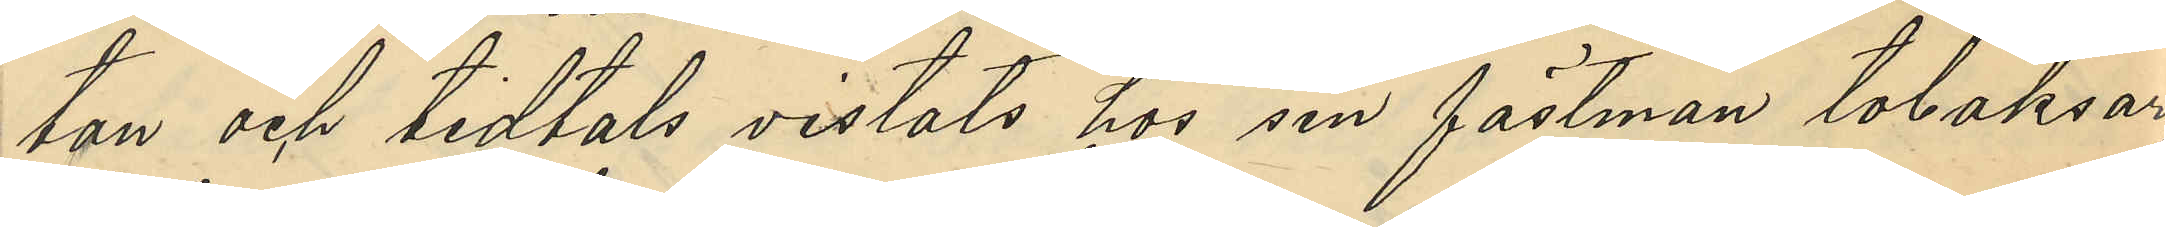tan och tidtals vistats hos sin fästman tobaksar¬
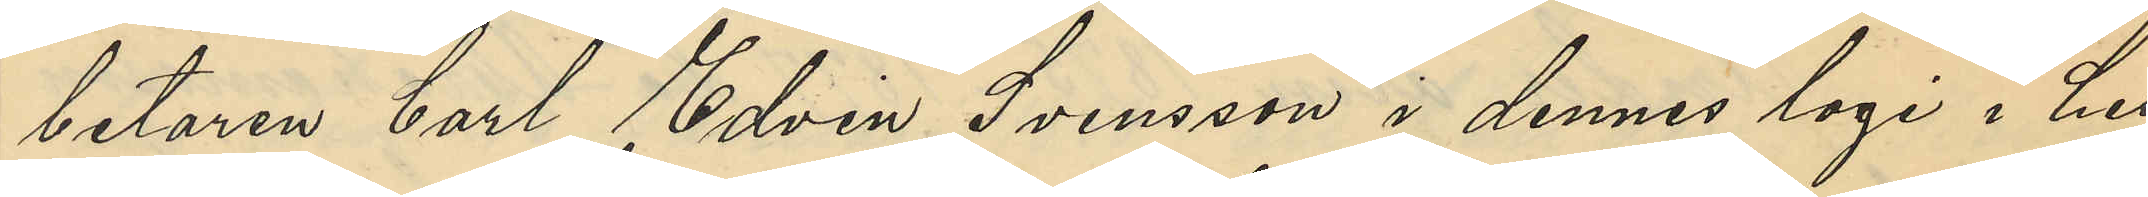betaren Carl Edvin Svensson i dennes logi i hu¬
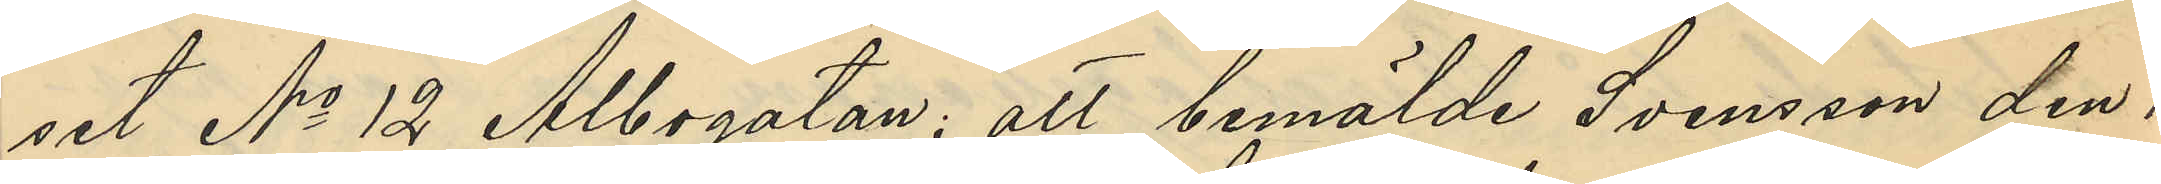set No 12 Albogatan; att bemälde Svensson den 1
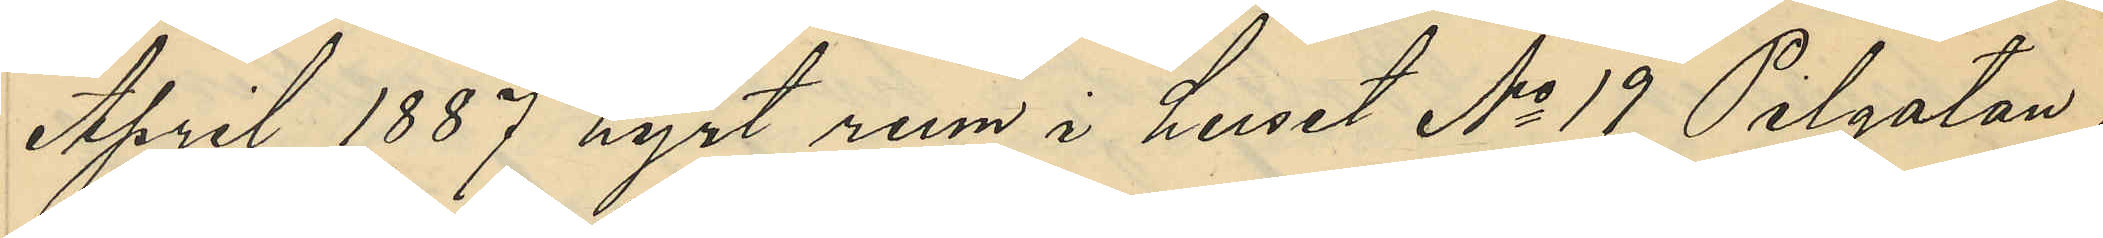April 1887 hyrt rum i huset No 19 Pilgatan,
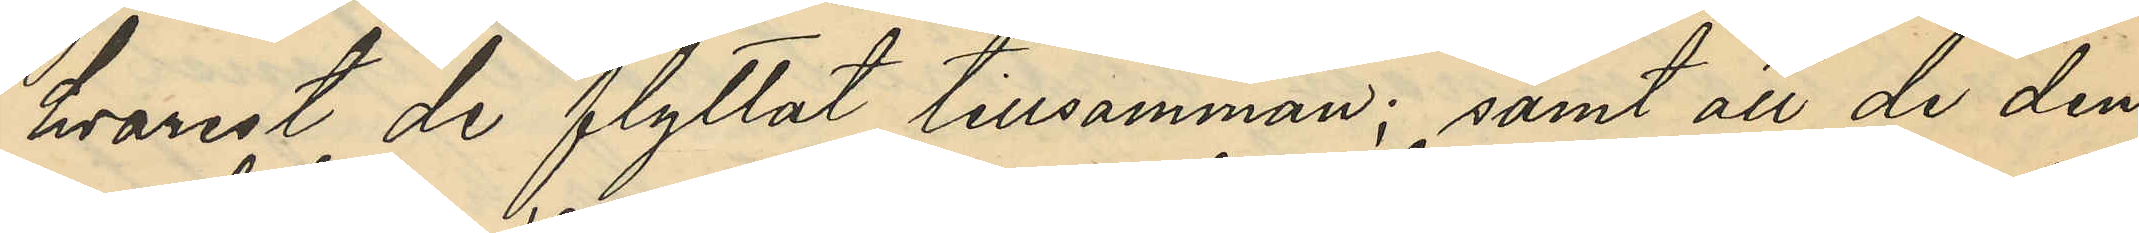hvarest de flyttat tillsammans; samt att de den
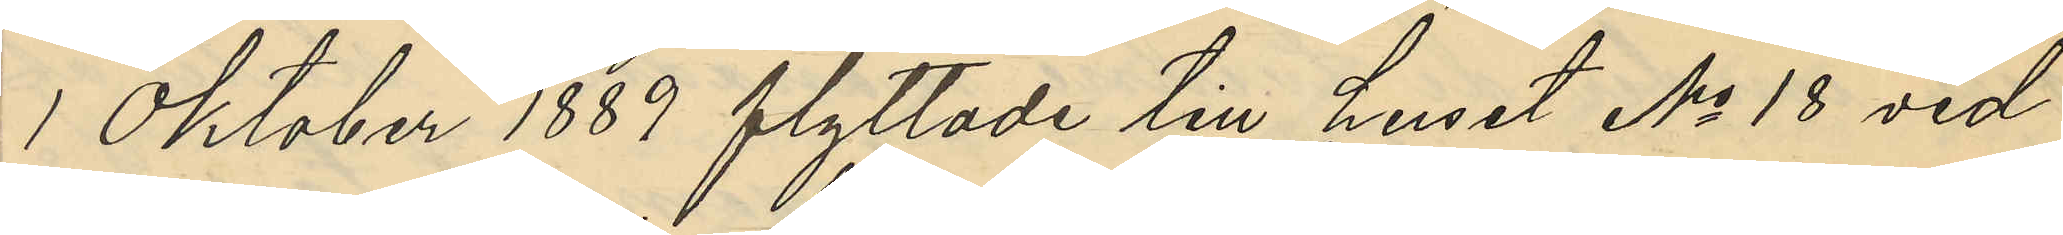1 Oktober 1889 flyttade till huset No 18 vid
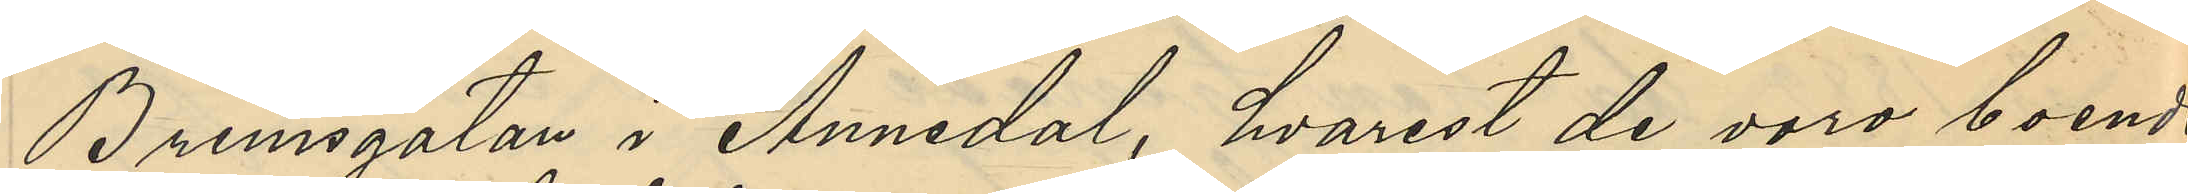Brunnsgatan i Annedal, hvarest de vore boende
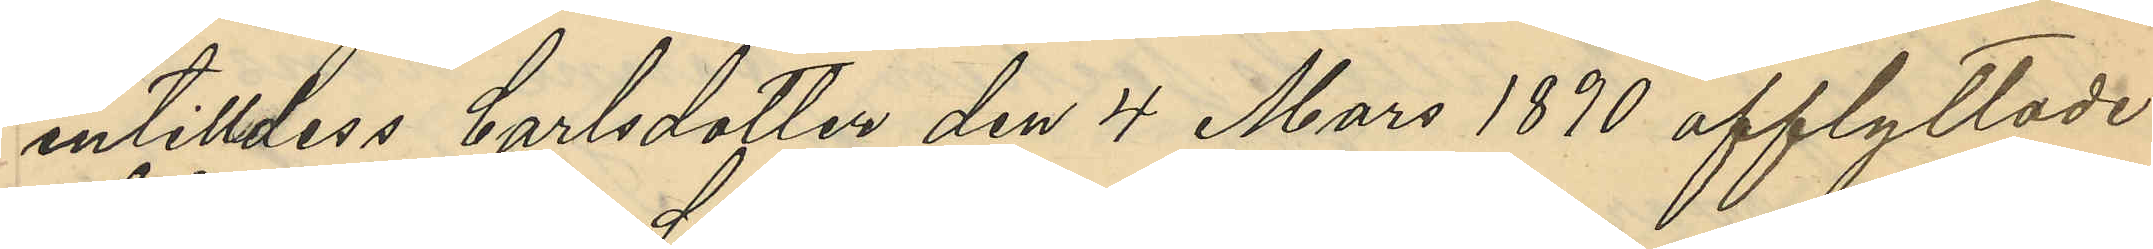intilldess Carlsdotter den 4 Mars 1890 afflyttade
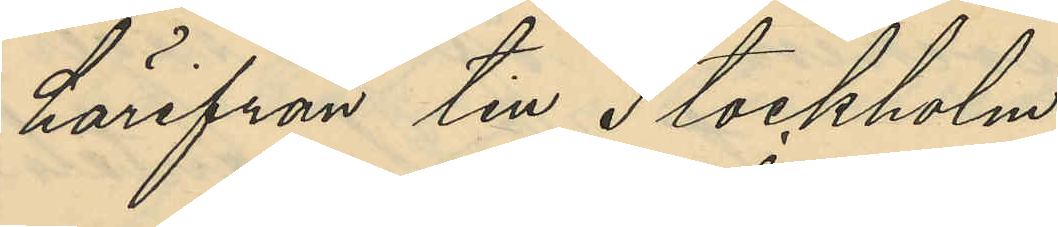härifrån till Stockholm.
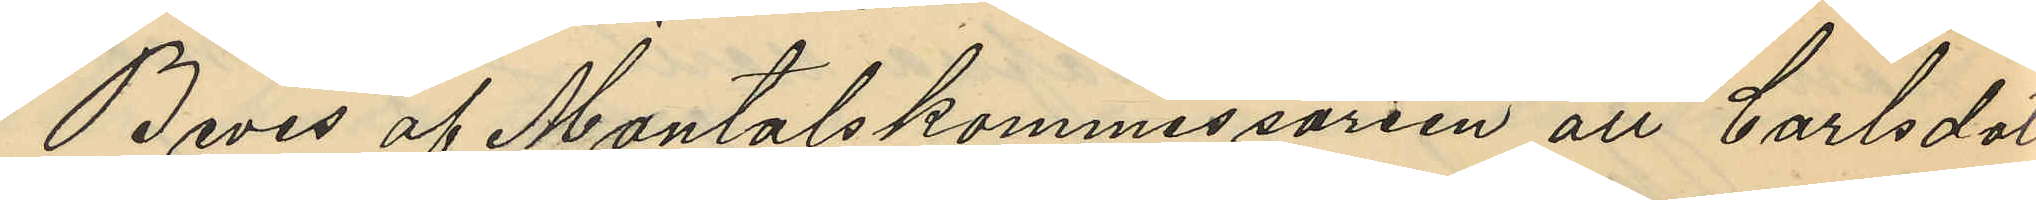Bevis af mantalskommissarien att Carlsdot¬
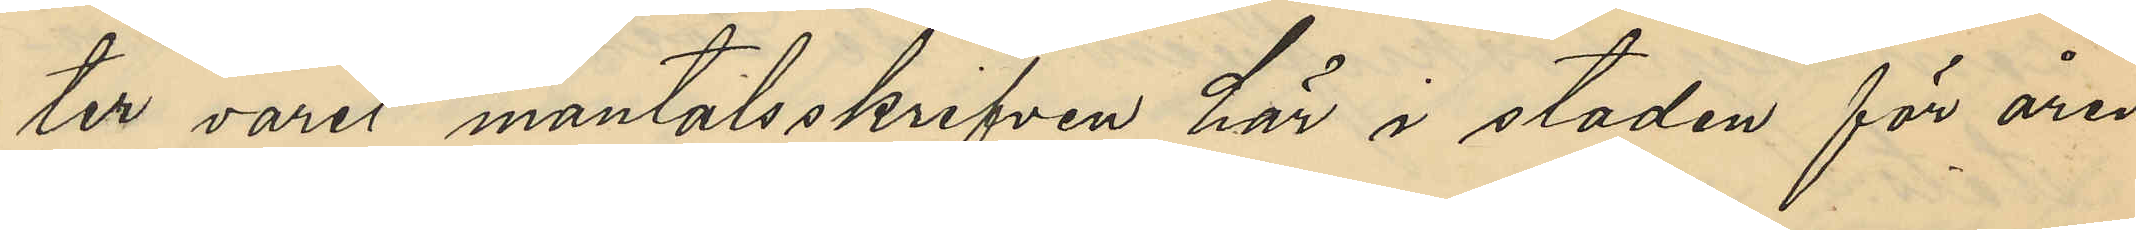ter varit mantalsskrifven här i staden för åren
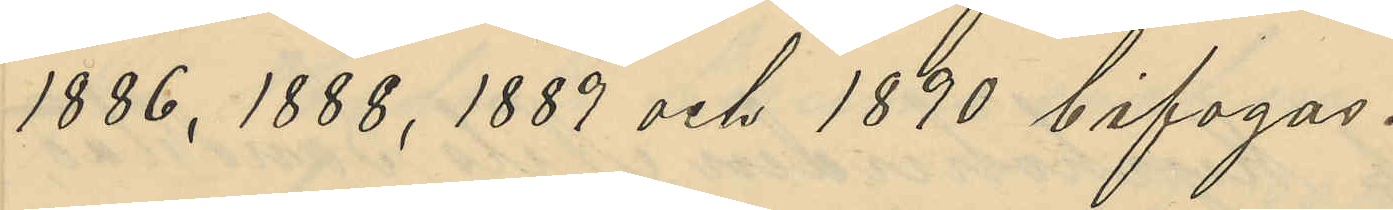1886, 1888, 1889 och 1890 bifogas.
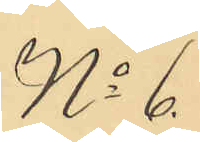No 6
